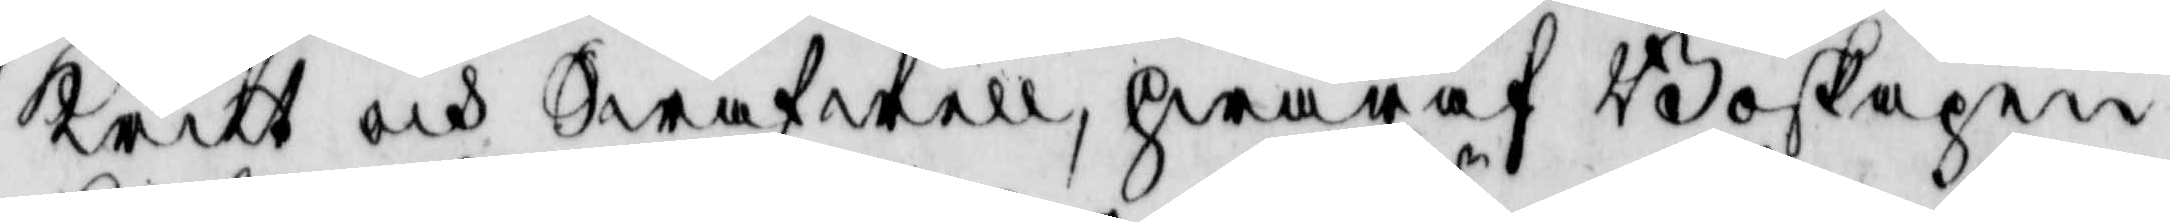krit och Swafwell, hwaraf Boskapen
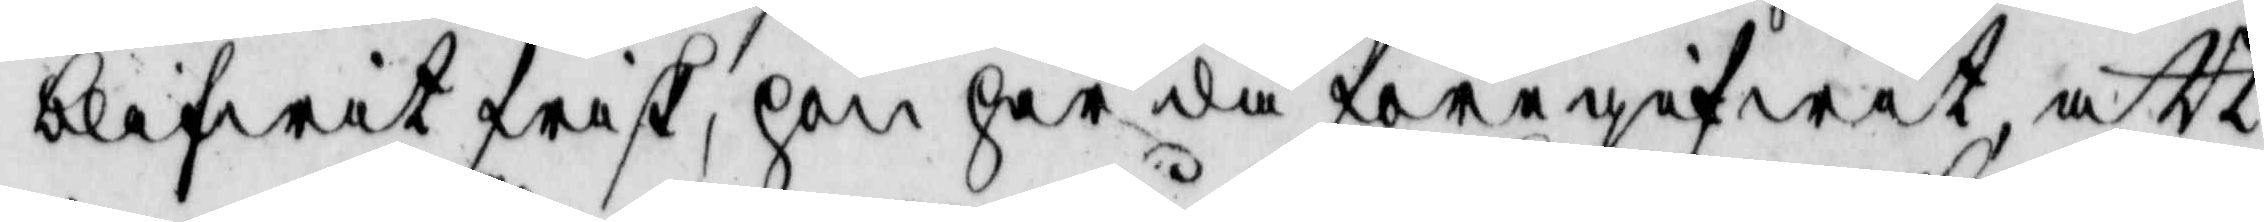blifwit frisk, hon har då döregifwit att
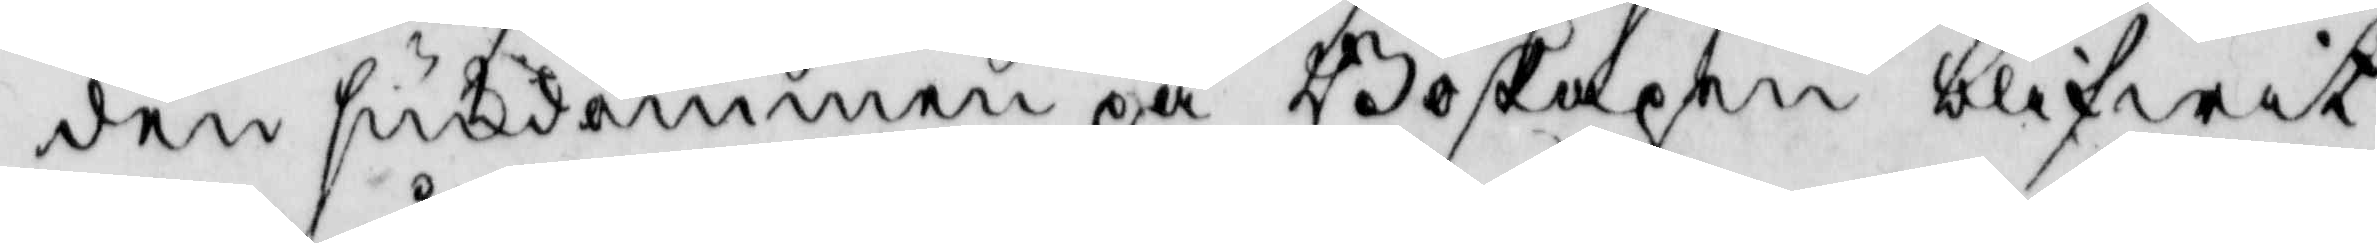den siukdommen på Boskapen blifwit
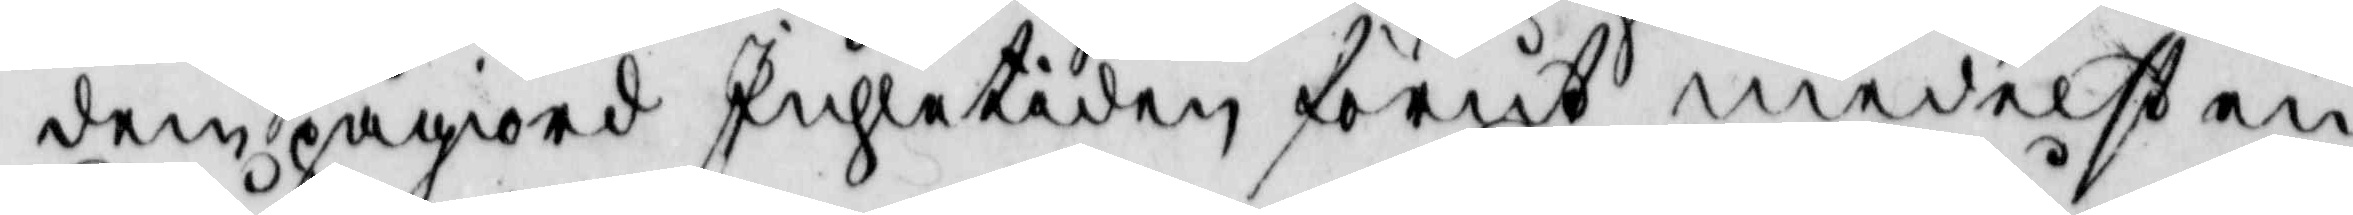dem pågiord Juhletiden förut medelst en
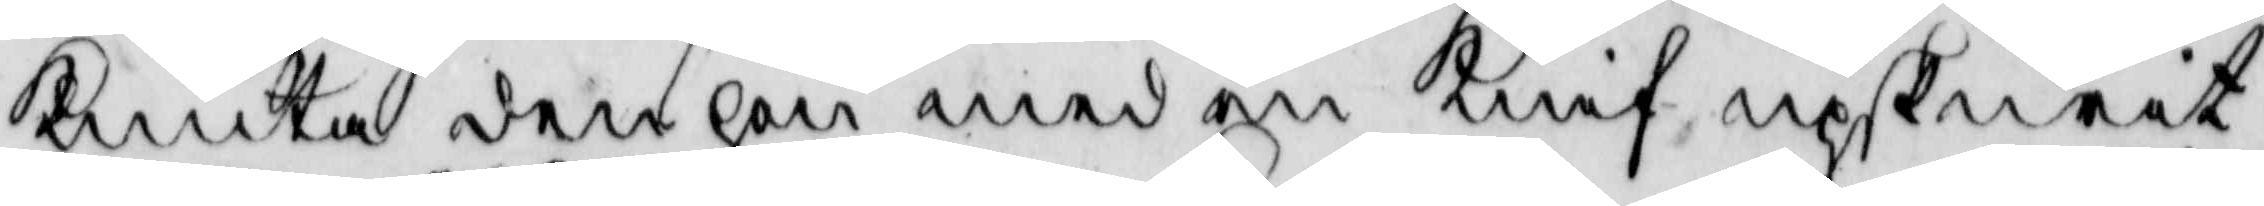knuta den hon med en knif upskurit
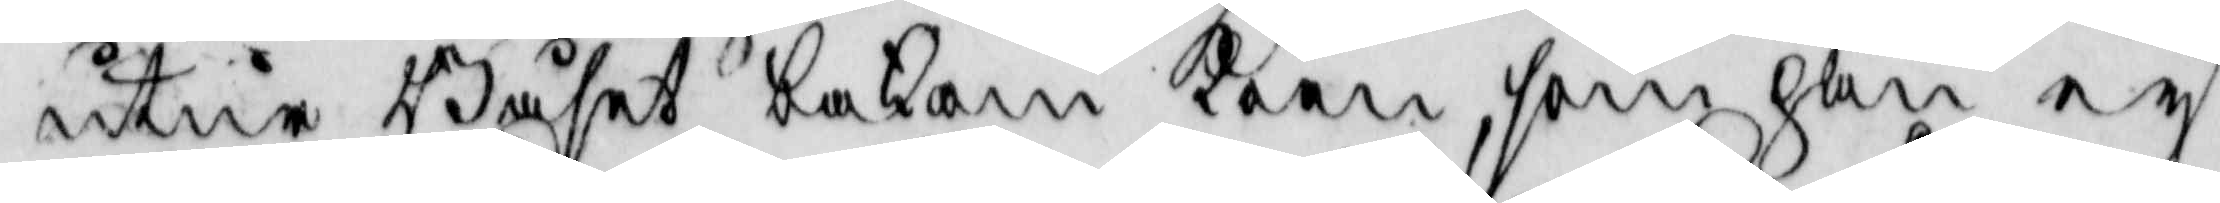utur Båste bakom koen, som han ey
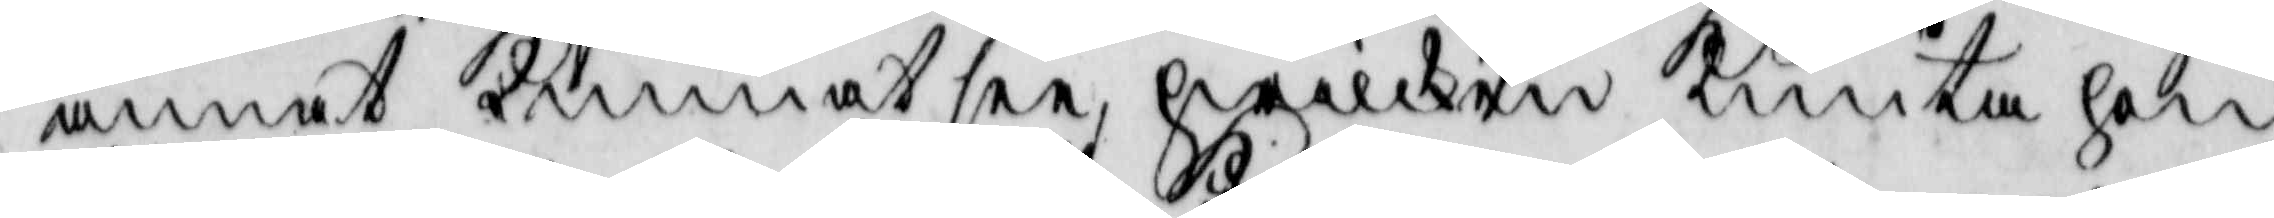annat kunnat see, hwilken knuta hon
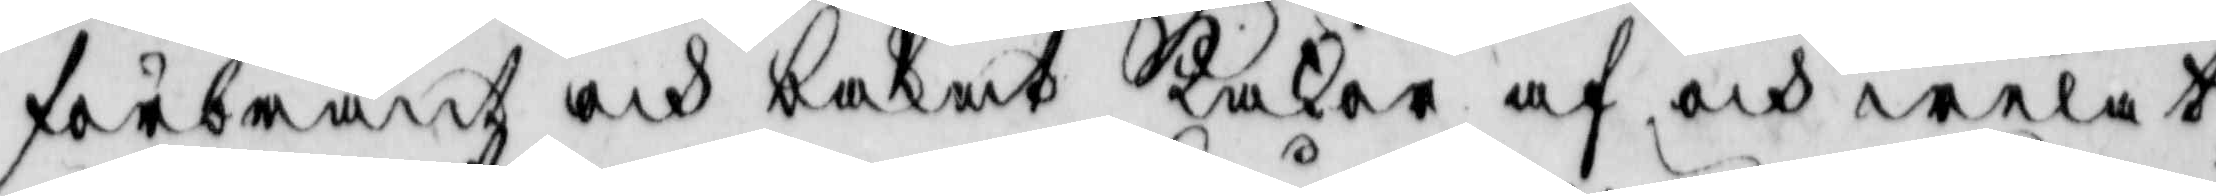förbränt och bakat kakor af och welat
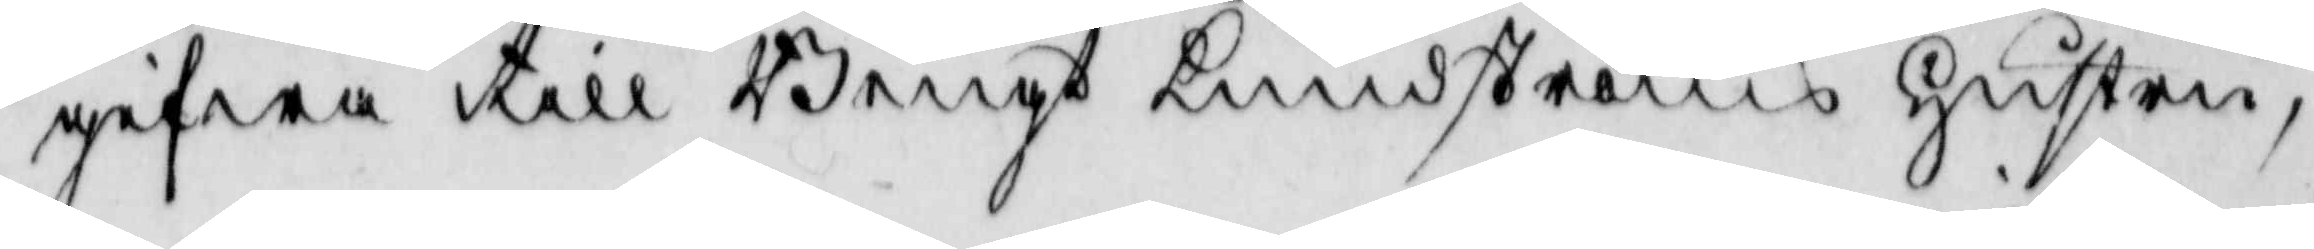gifwa till Bengt Lundströms hustru,
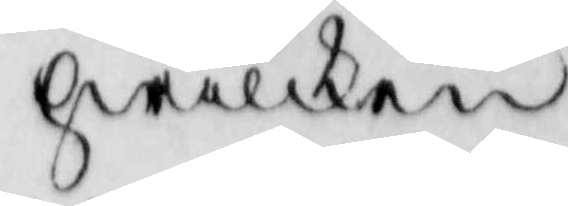hwilken
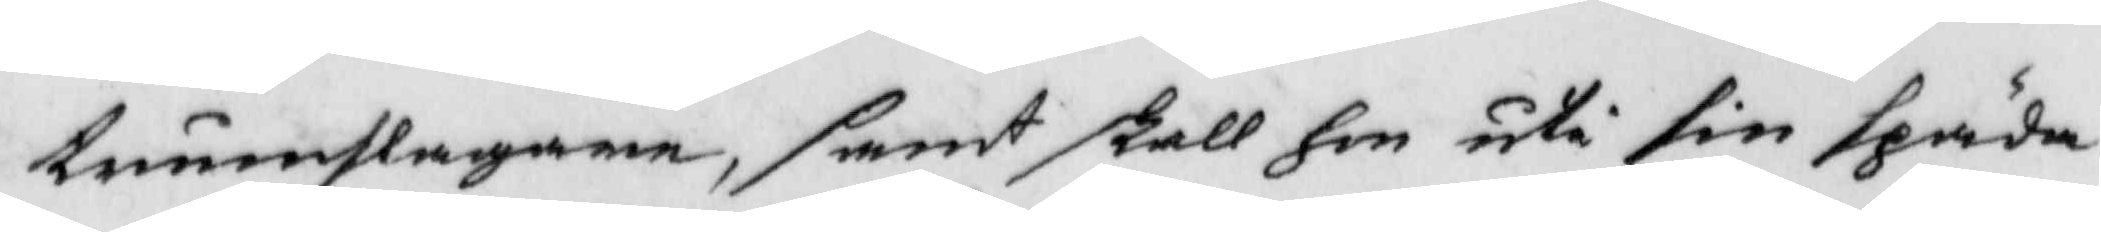trumslagaren, samt skall hon uti sin späda
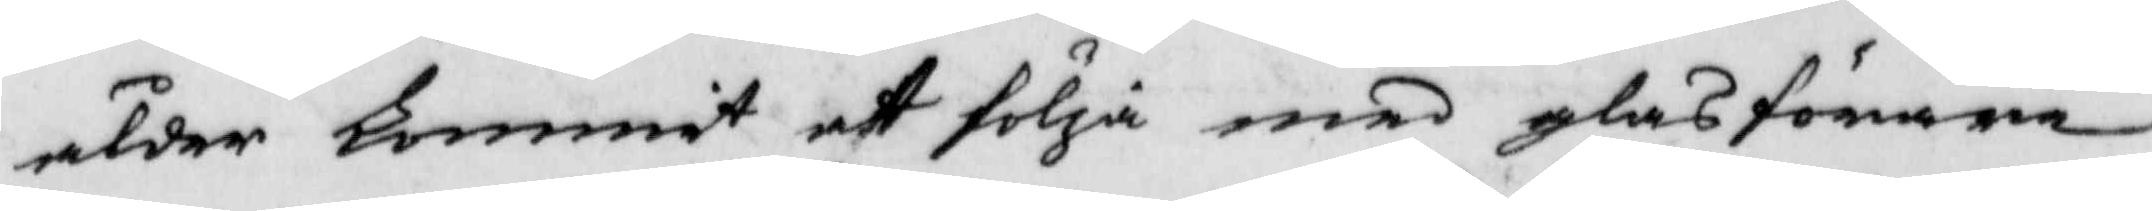ålder kommit att följa med glasförare
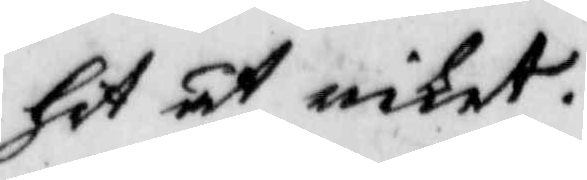hit åt riket.
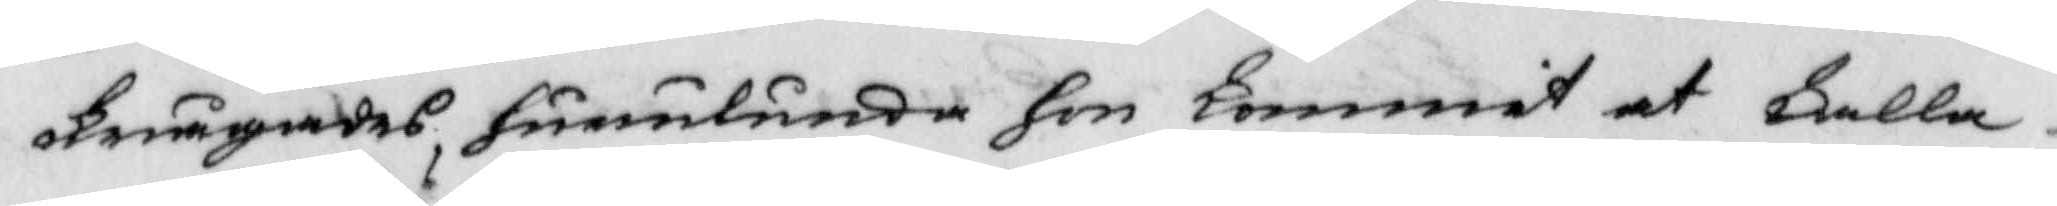Frågades, hurulunda hon kommit at kalla
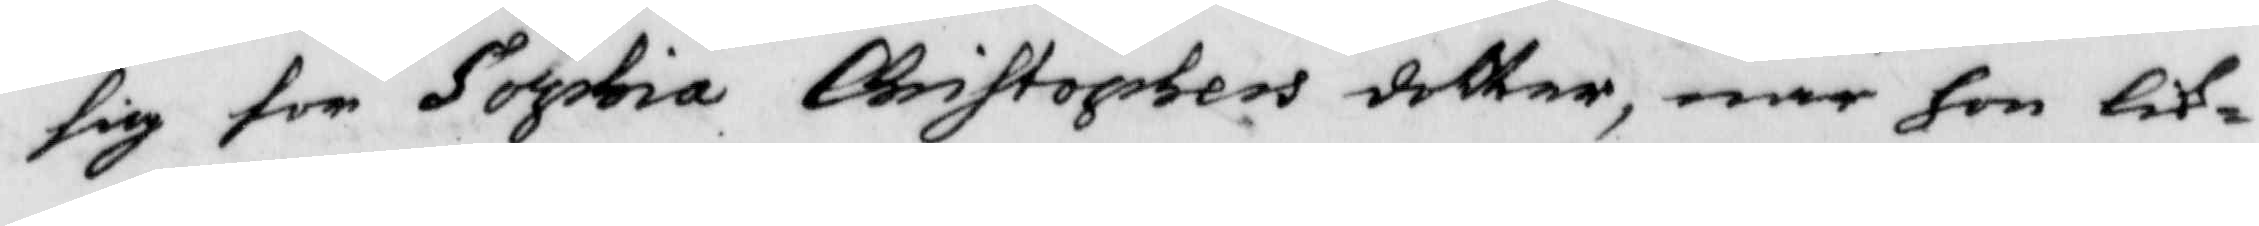sig för Sophia Christophers sotter, när hon lik¬
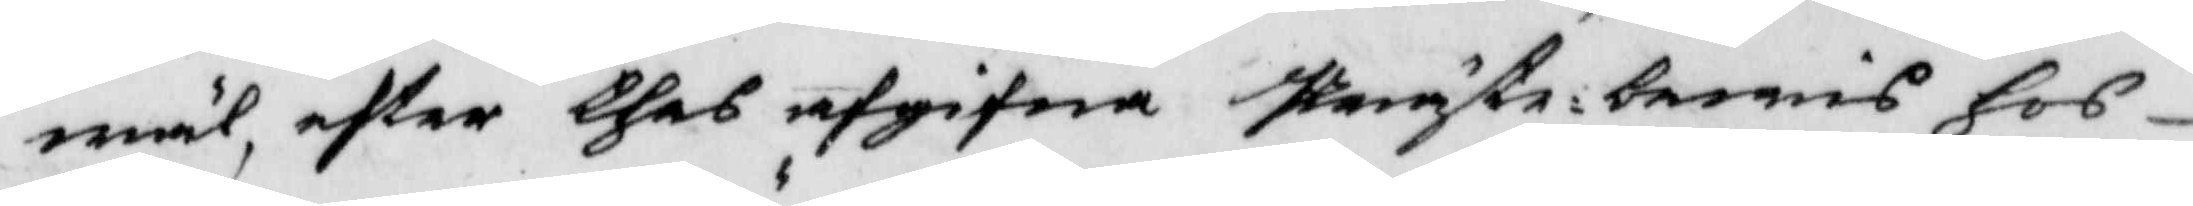wäl, efter thes afgifna Prästebewis hos
